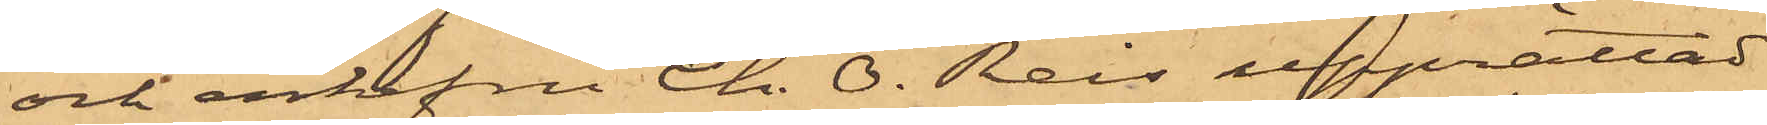och enkefru Ch. O. Reis upprättad
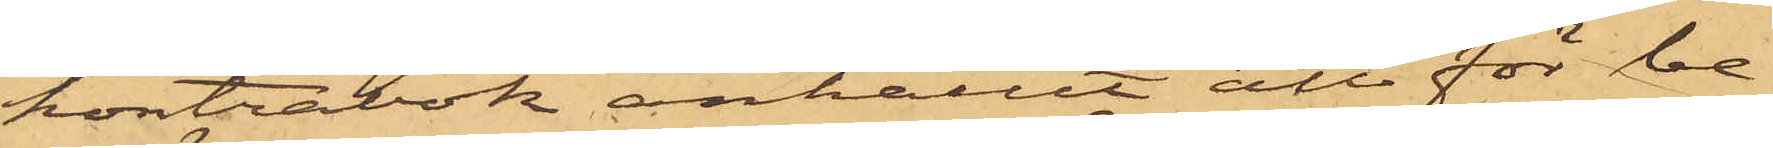kontrabok anhållit att för be¬
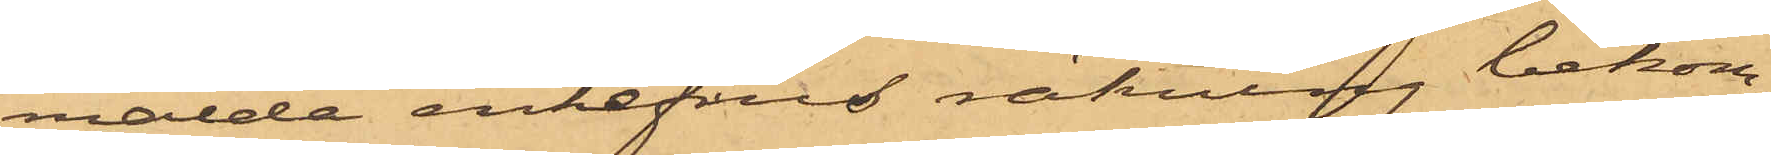mälde enkefrus räkning bekom¬
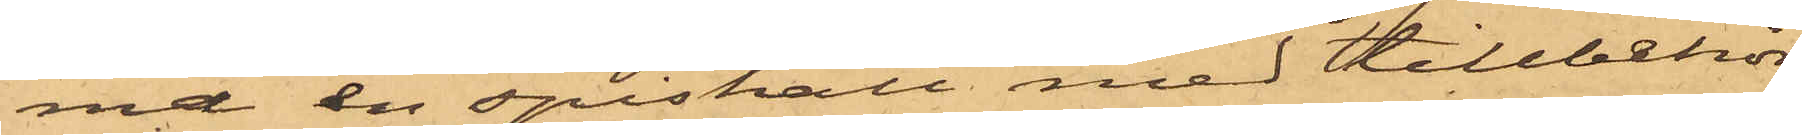ma en spishall med tillbehör;
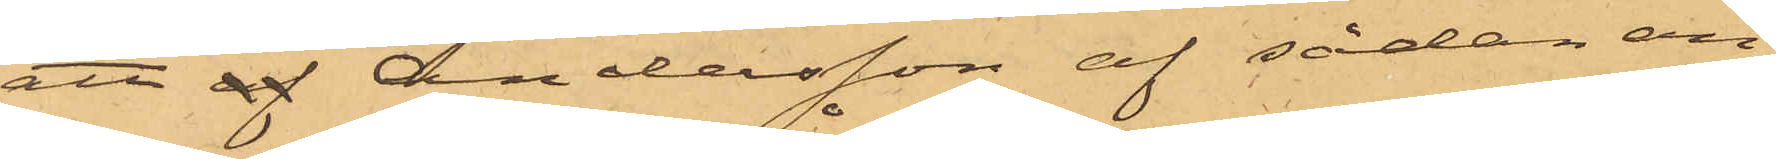att af Andersson af sådan an¬
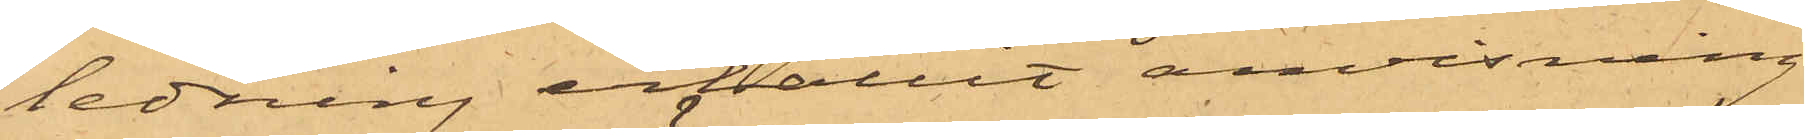ledning erhållit anvisning
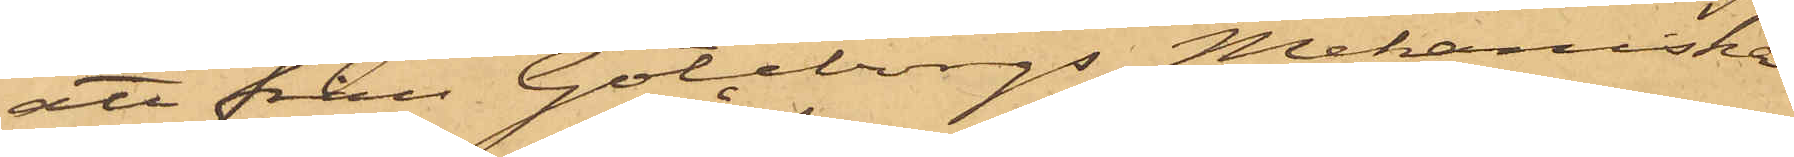att från Göteborgs Mekaniska
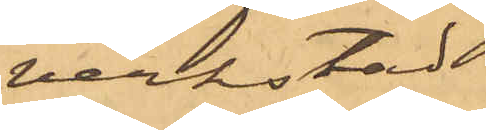verkstad
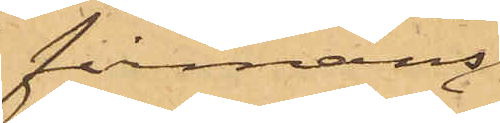å firmans
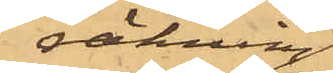räkning
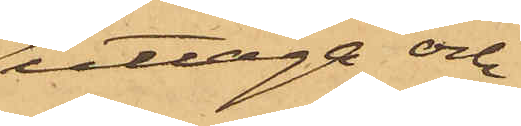uttaga och
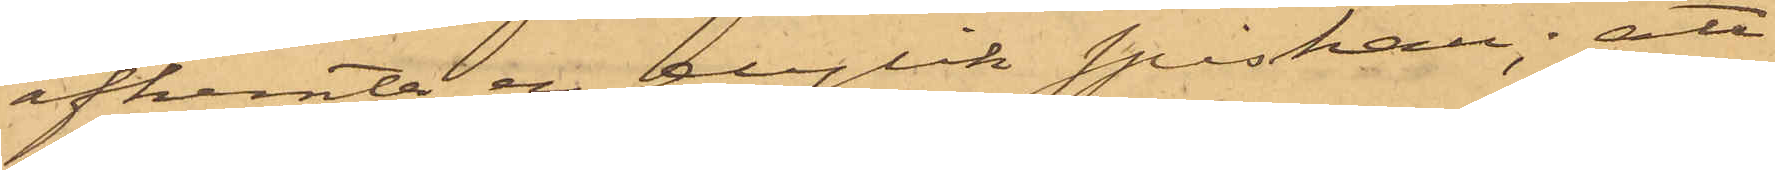afhemta en dylik spishall; att
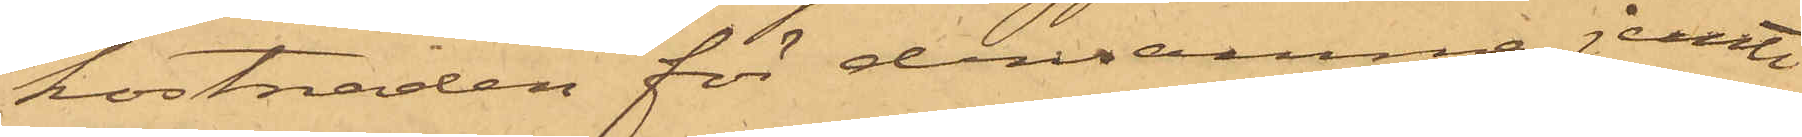kostnaden för densamma jemte
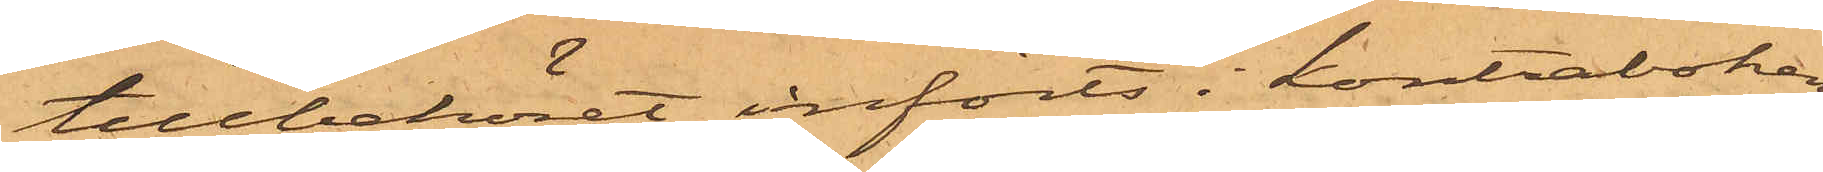tillbehöret införts i kontraboken
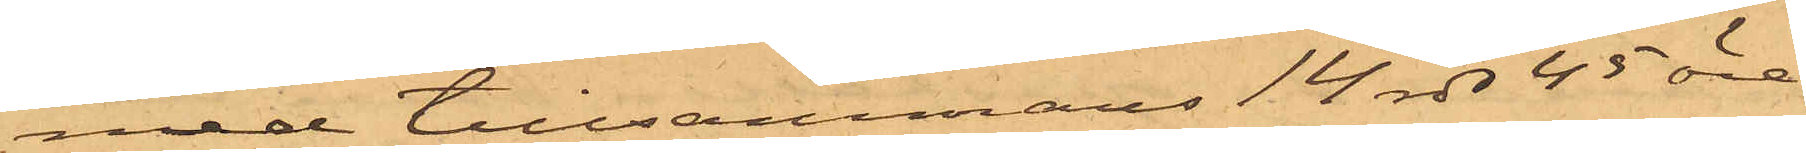med tillsammans 14 rdr 45 öre,
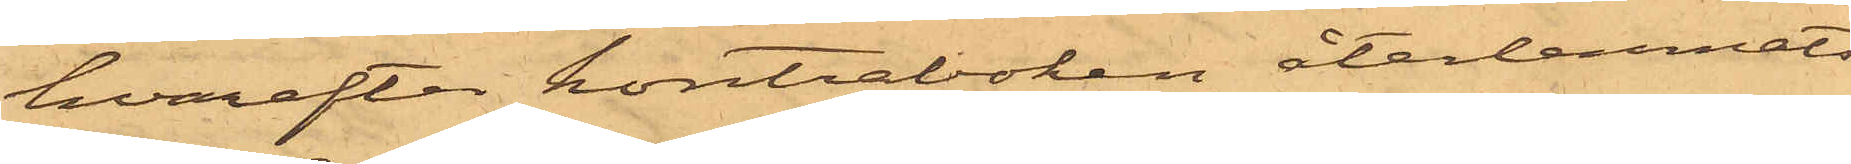hvarefter kontraboken återlemnats
